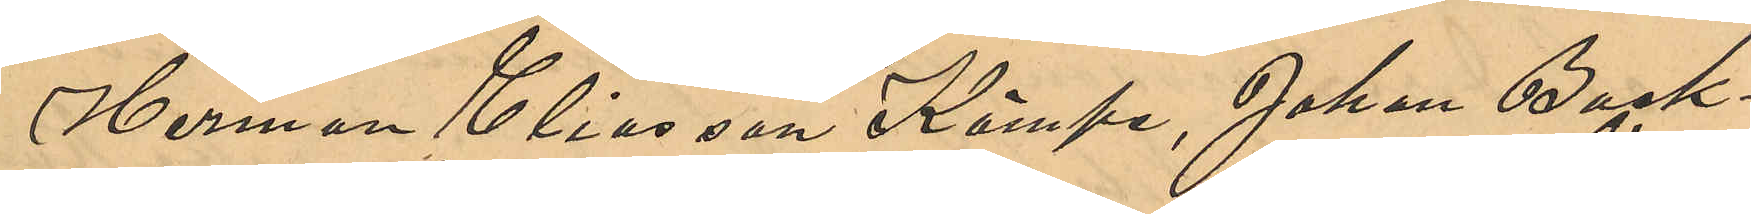Herman Eliasson Kämpe, Johan Back¬
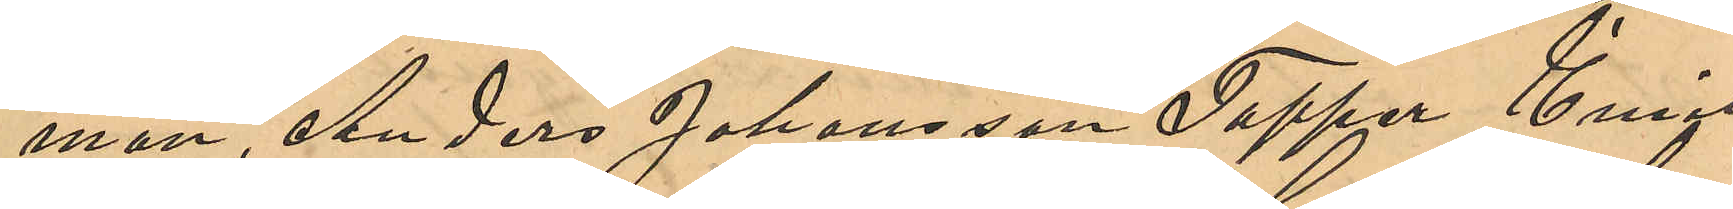man, Anders Johansson Tapper, Emil
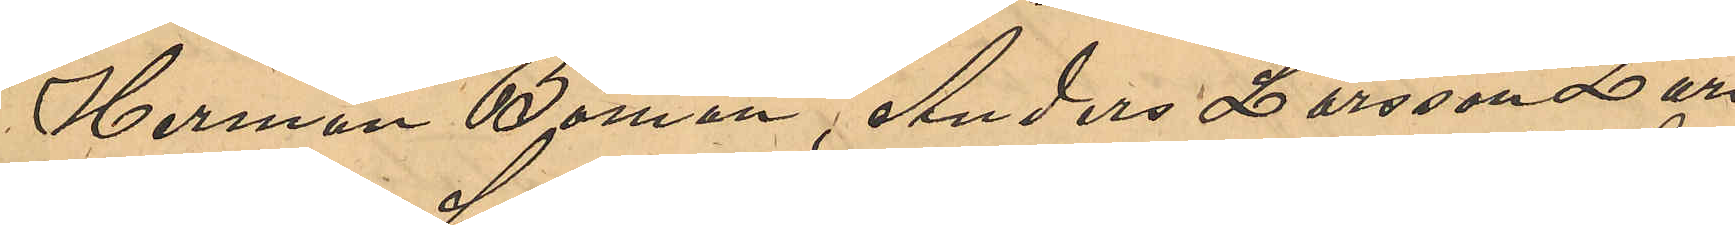Herman Boman, Andreas Larsson, Lars
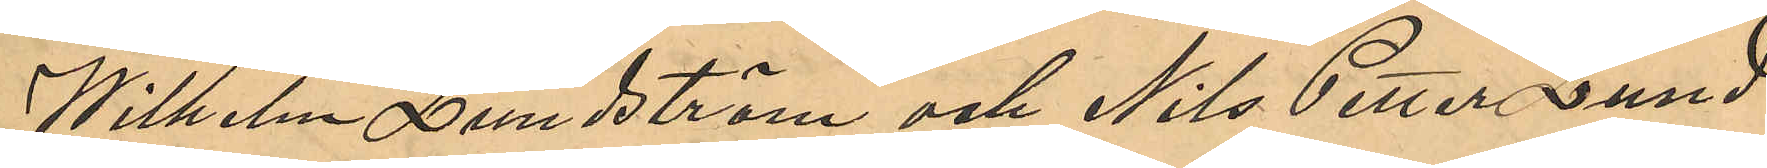Wilhelm Lundström och Nils Peter Lund¬
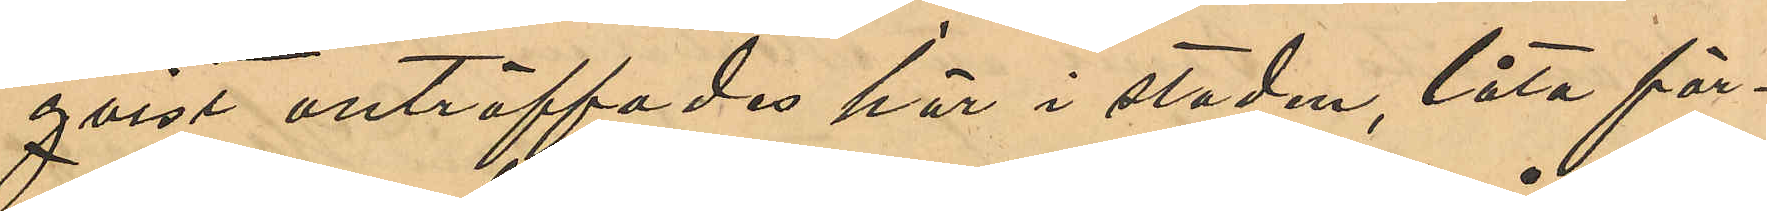qvist anträffades här i staden, låta för¬
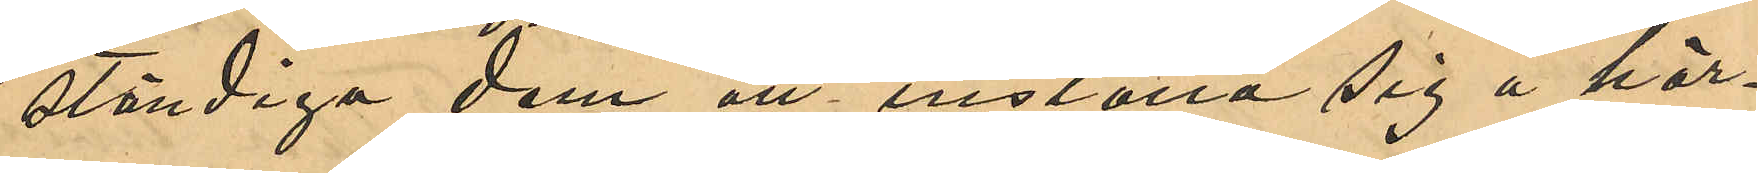ständiga dem att inställa sig å här¬
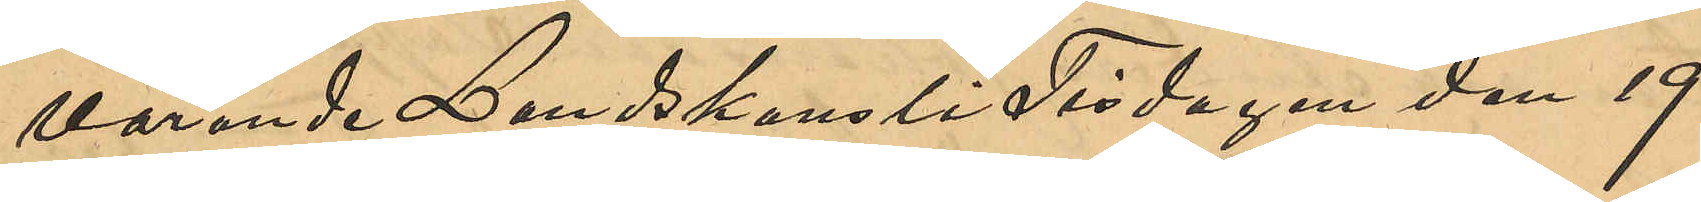varande Landskansli Tisdagen den 19
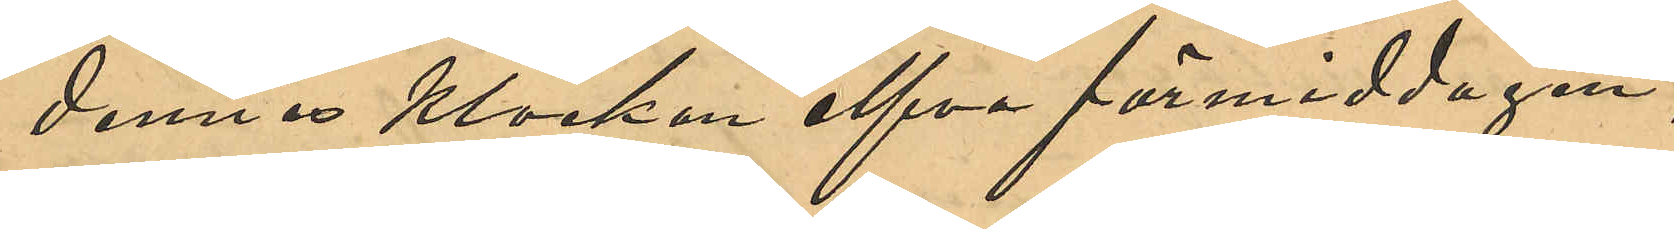dennes Klockan elfva förmiddagen;
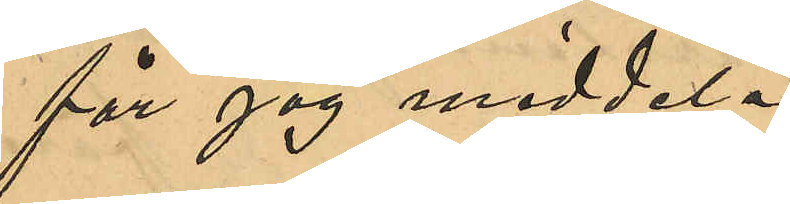får jag meddela:
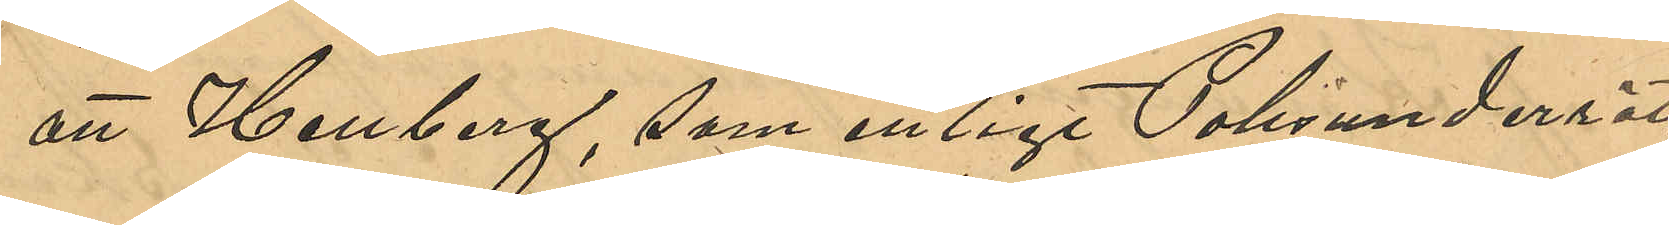att Hellberg, som enligt Polisunderrät¬
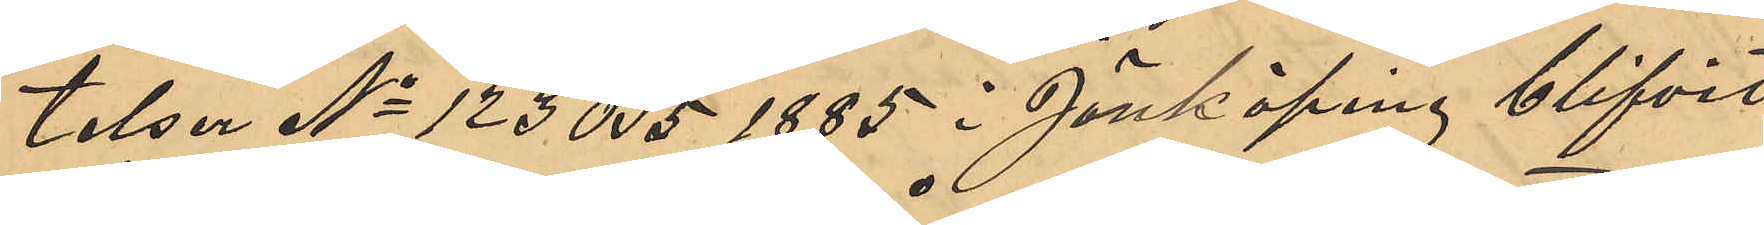telsen No 123 B. 5 1885 i Jönköping blifvit
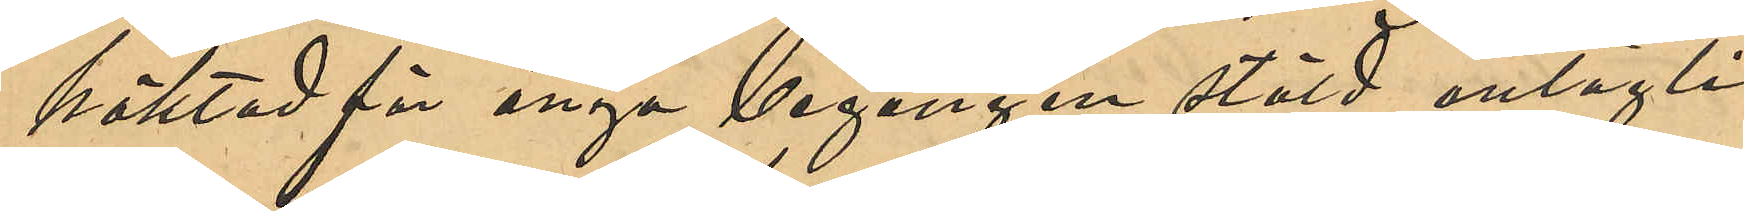häktad för begången stöld, antagli¬
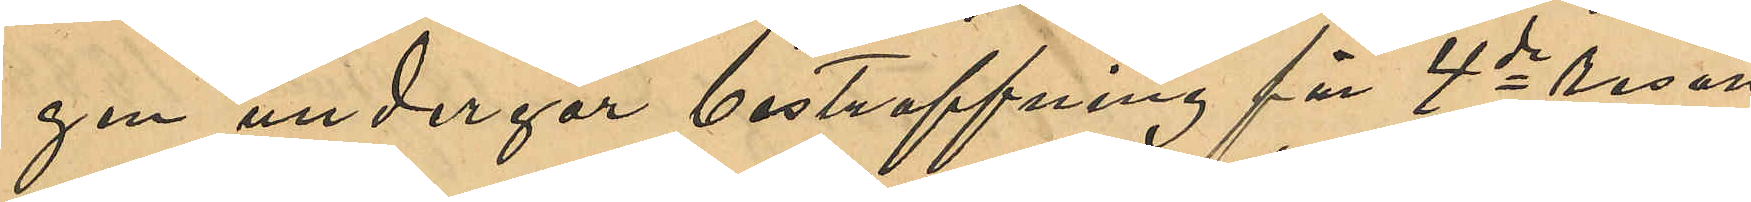gen undergår bestraffning för 4de resan
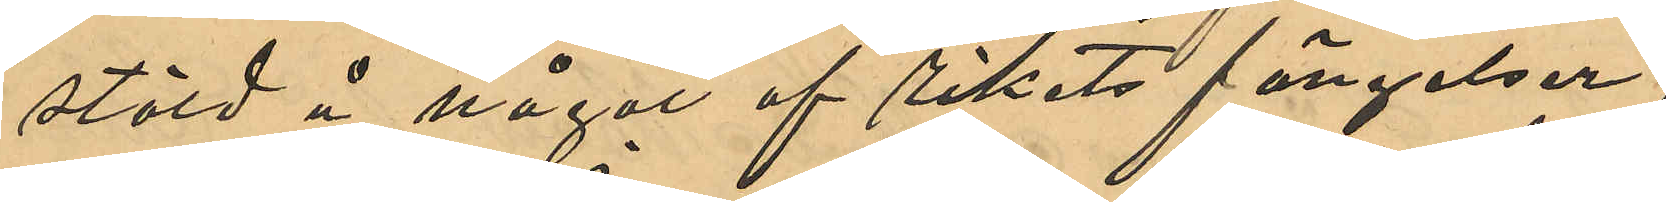stöld å något af rikets fängelser.
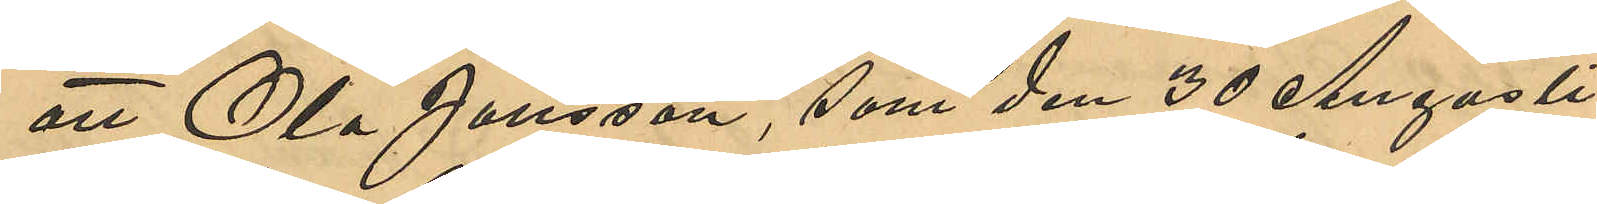att Ola Jansson, som den 30 Augusti
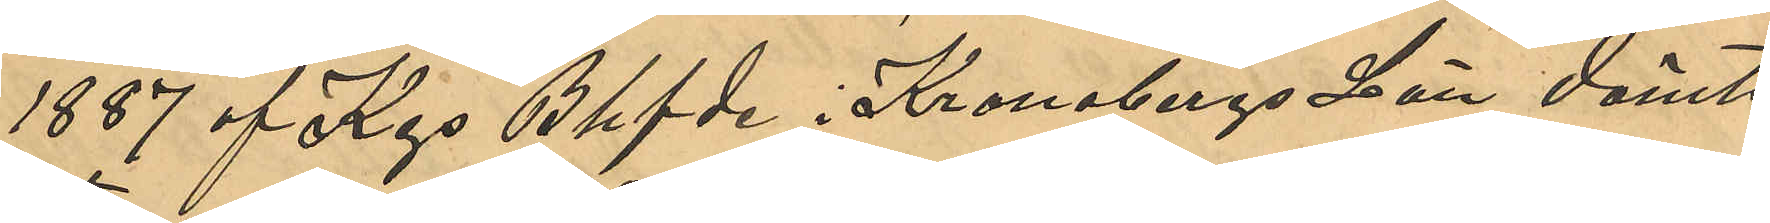1887 af Kgs Behfde i Kronobergs Län dömts
